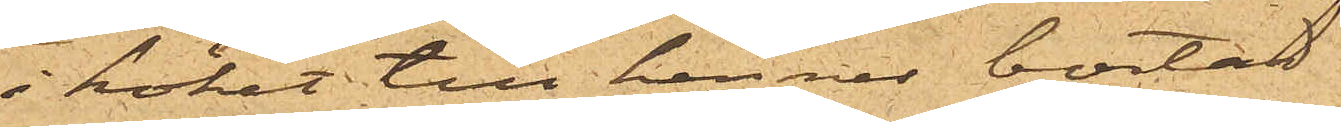i köket till hennes bostad.
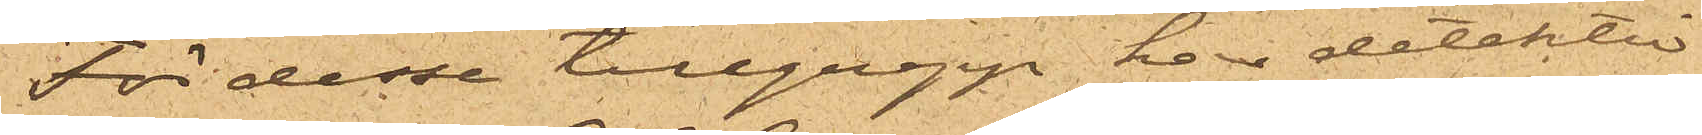För desse tillgrepp har detektiv¬
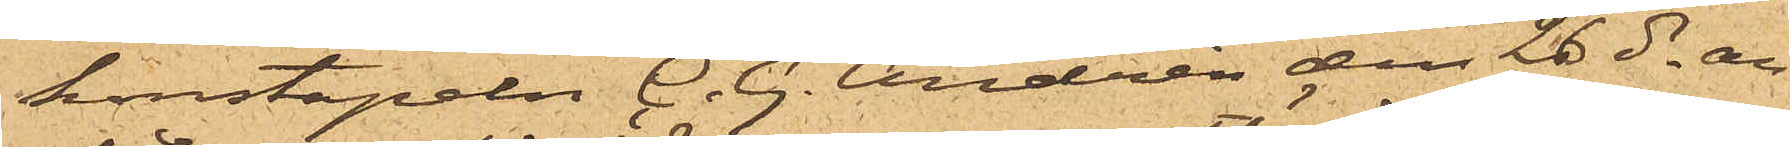konstapeln C. G. Andrén den 26 ds an¬
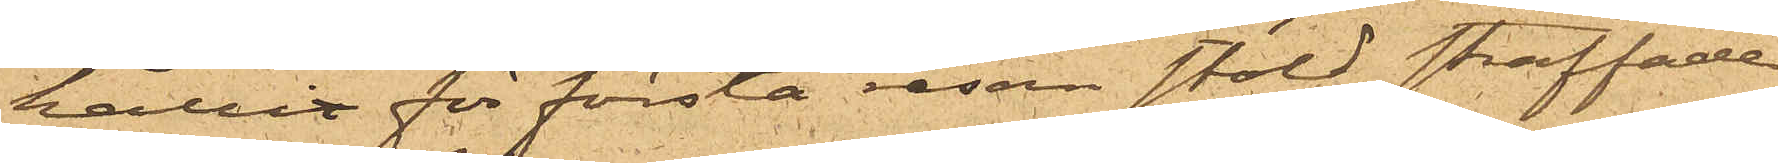hållit för första resan stöld straffade
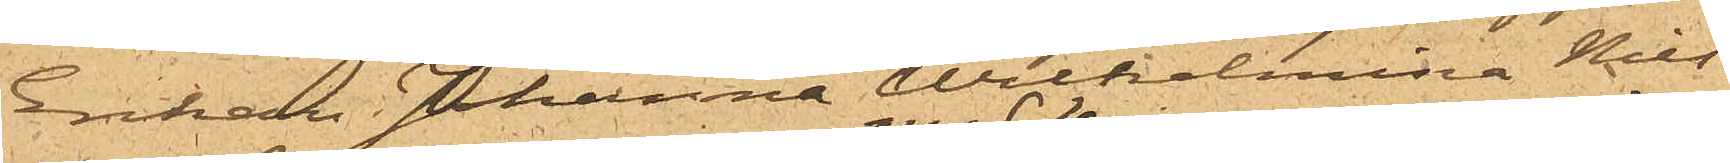Enkan Johanna Wilhelmina Nils¬
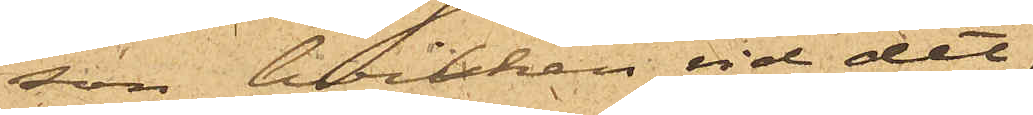son, hvilken vid det
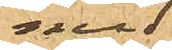med
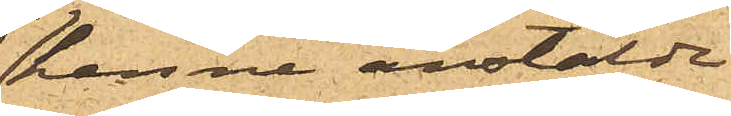henne anstälde
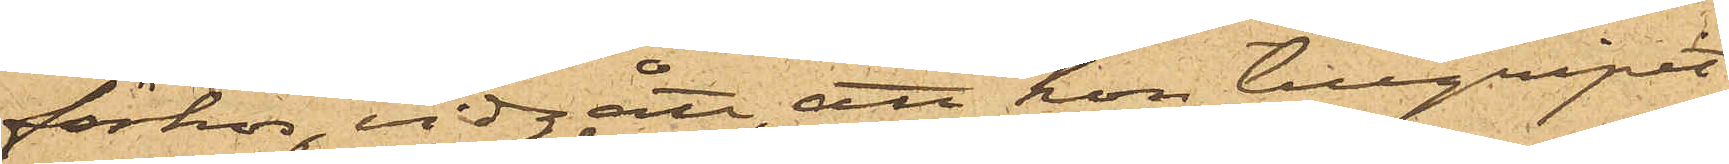förhör, vidgått, att hon tillgripit
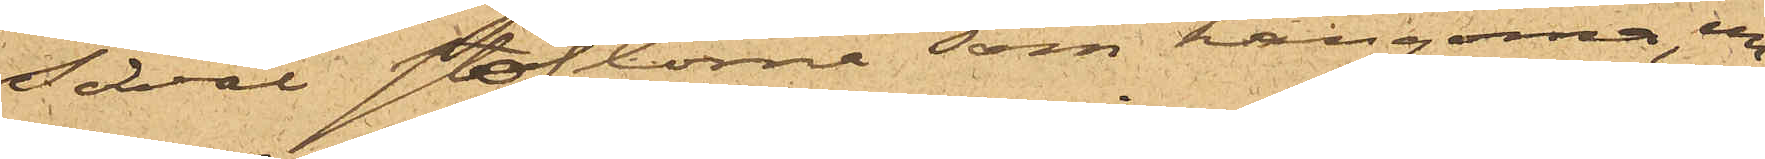såväl stöflorna som kängorna, un¬
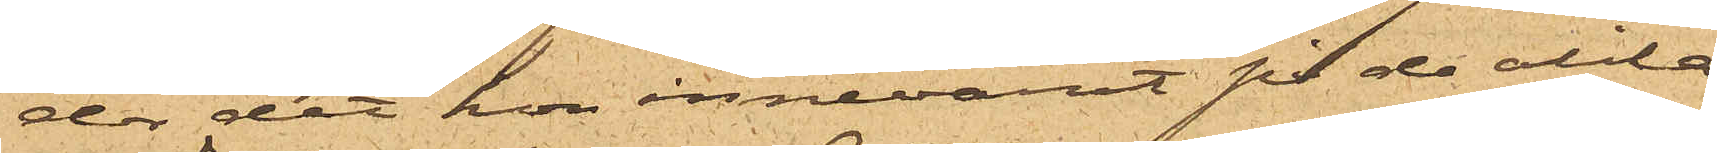der det hon innevarit på de olika
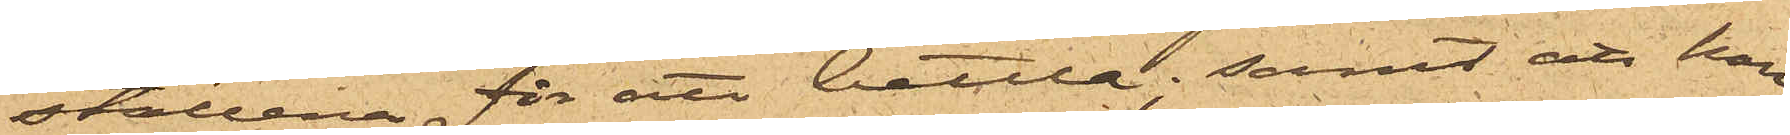ställena för att bettla; samt att hon
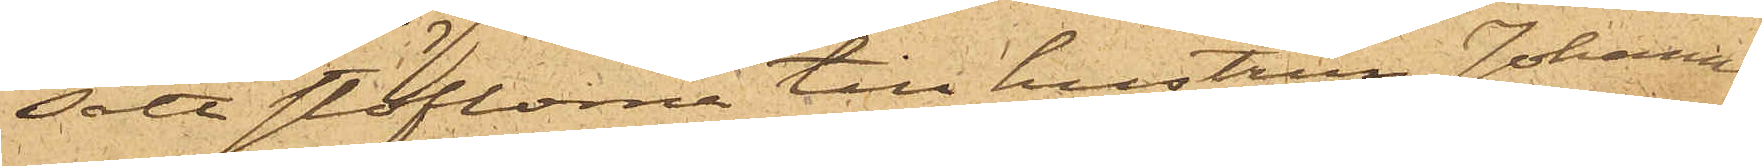sålt stöflorna till hustrun Johanna
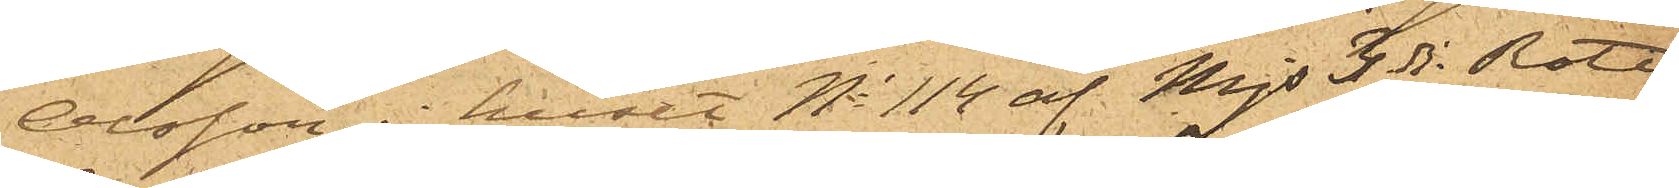Olsson i huset No 114 af Majs 3dje Rote
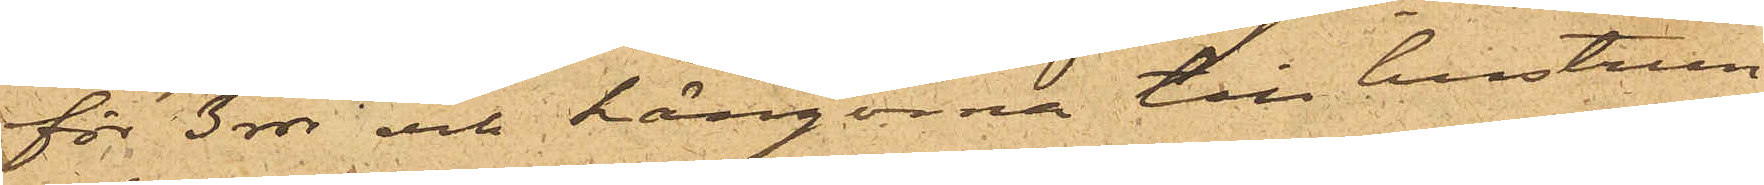för 3 rdr och kängorna till hustrun
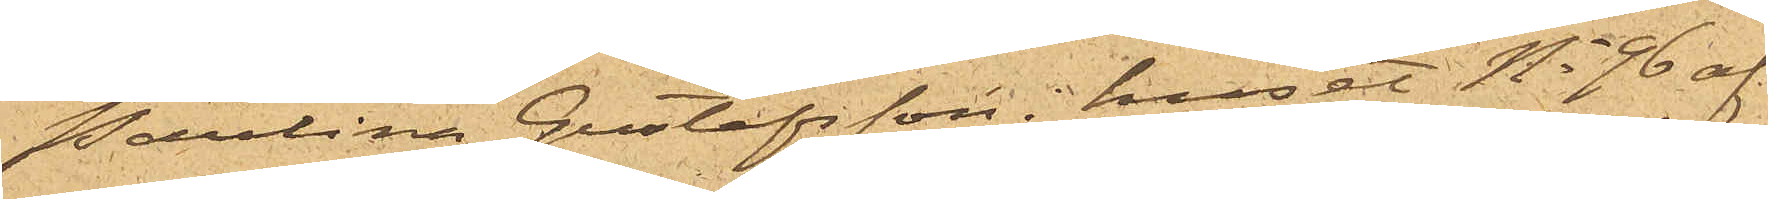Paulina Gustafsson i huset No 96 af
